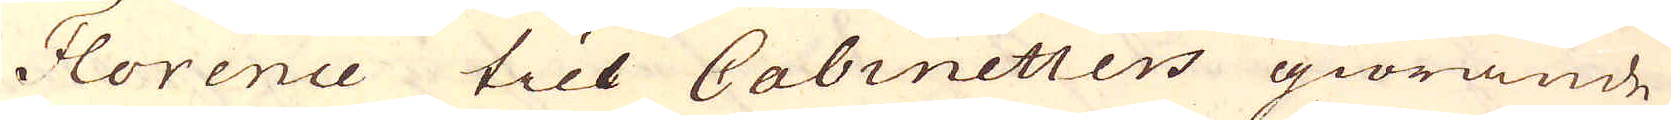Florence till Cabinetters giörande
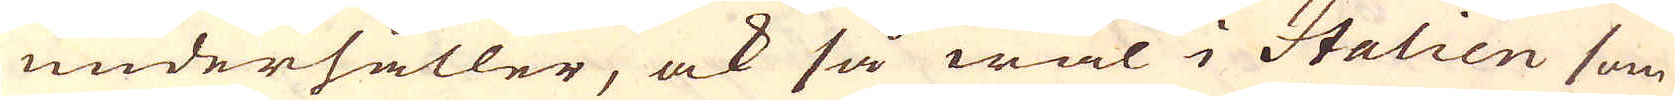underhåller, ock så wäl i Italien som
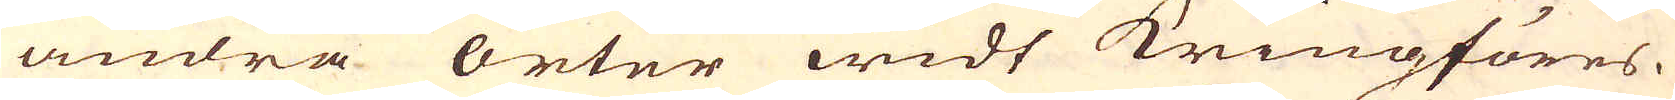andra orter widt kringföres.
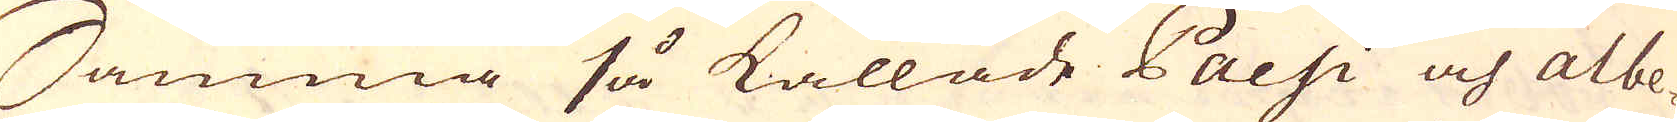Samma så kallade Pacsi och albe-
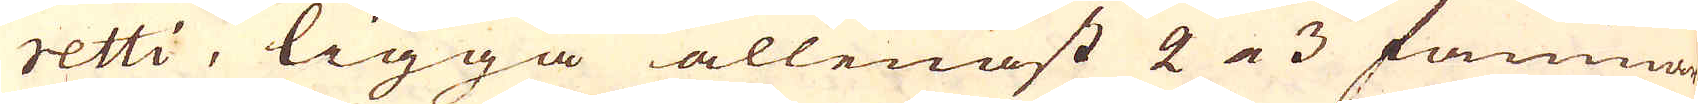retti, ligga allenast 2 a 3 famnar
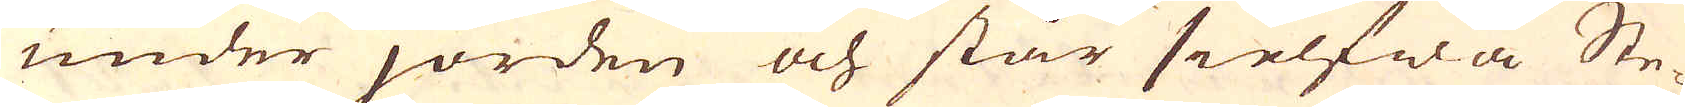under jorden och står sielfwa Ste-
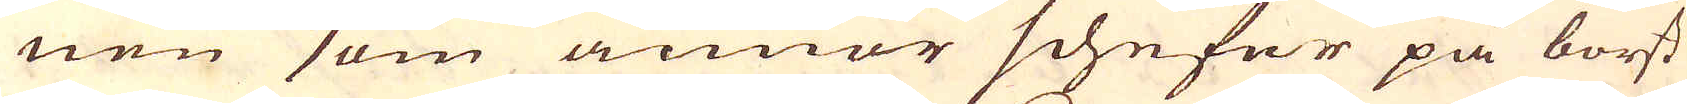nen som annor schefer på borst
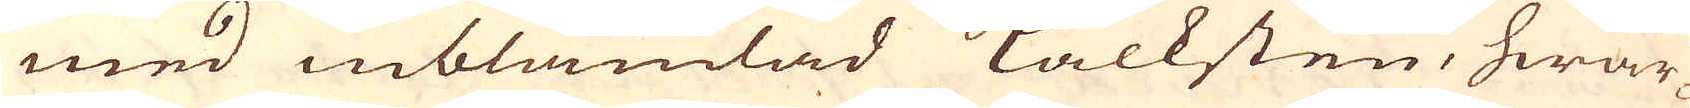med inblandad kalksten, hwar-
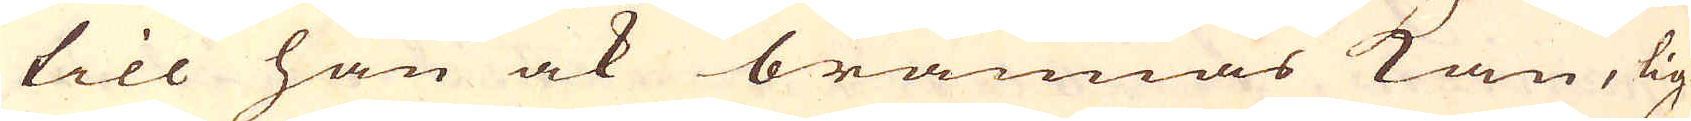till han ock brännas kan, lig-
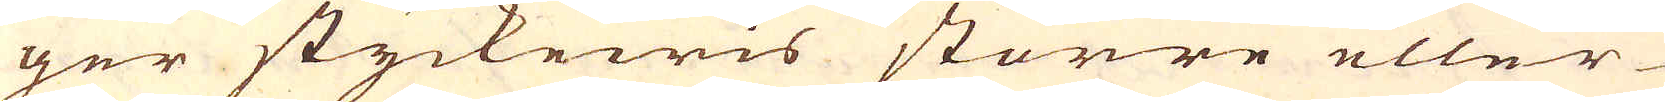ger styckewis större eller
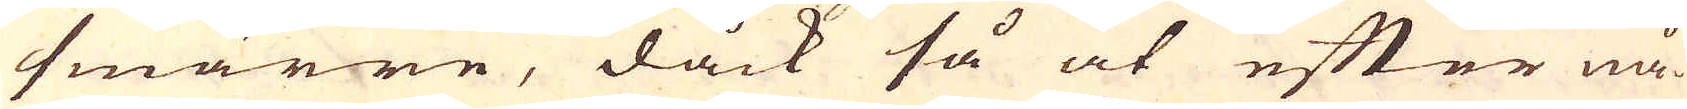smärre, dåck så at efter nå-
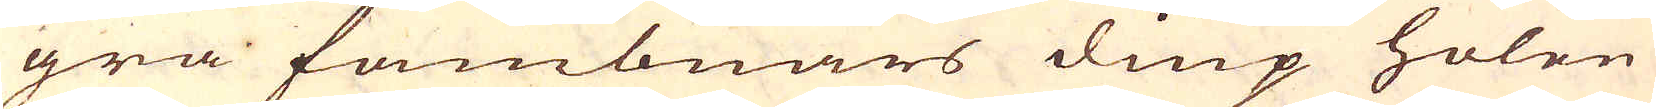gra fambnars diup holen
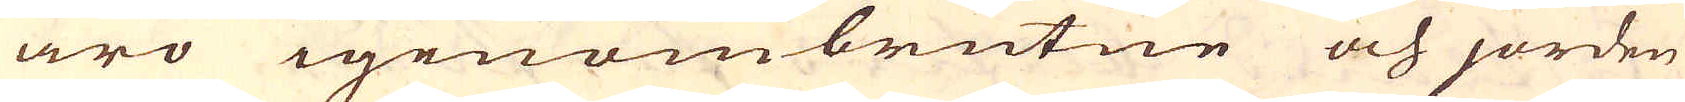äro igenombrutne och jorden
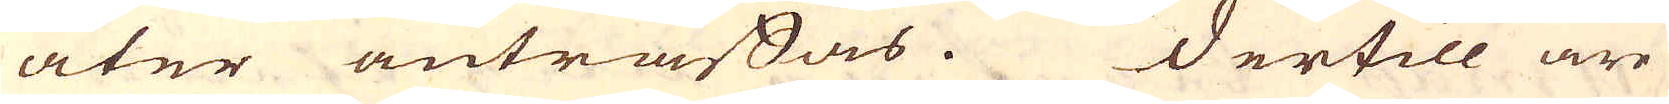åter anträffas. Dertill äre
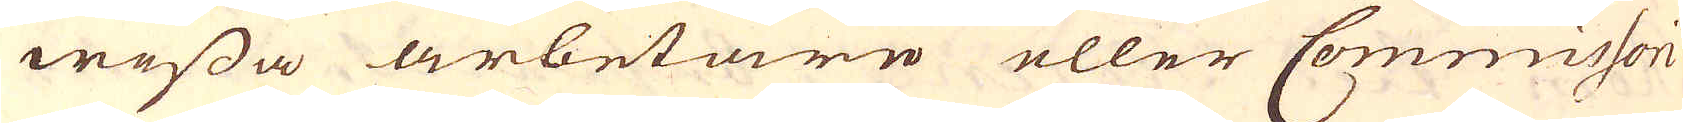wissa arbetare eller Comissori
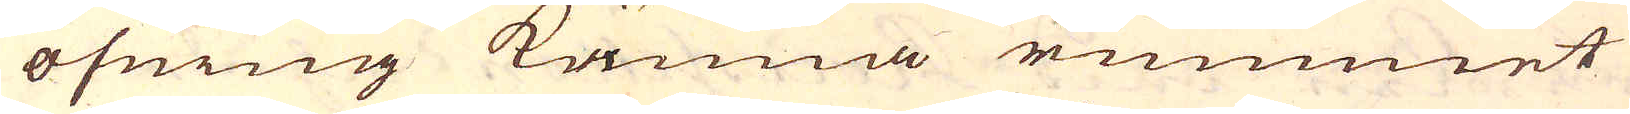öfning känna rummet
